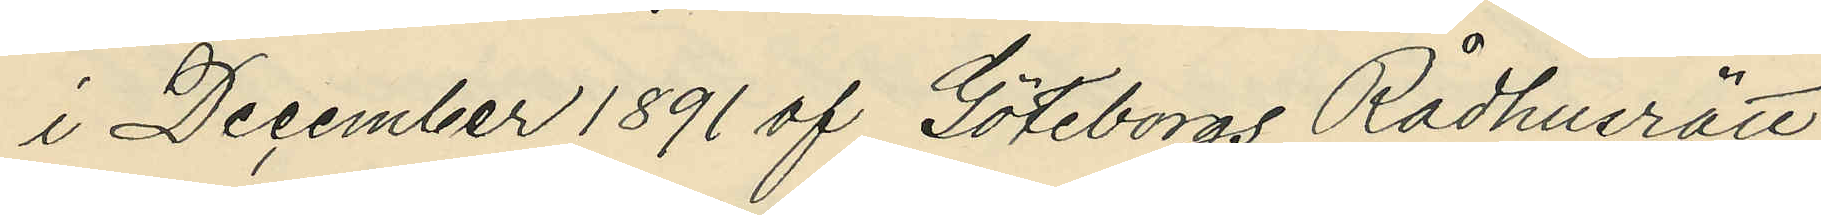i December 1891 af Göteborgs Rådhusrätt
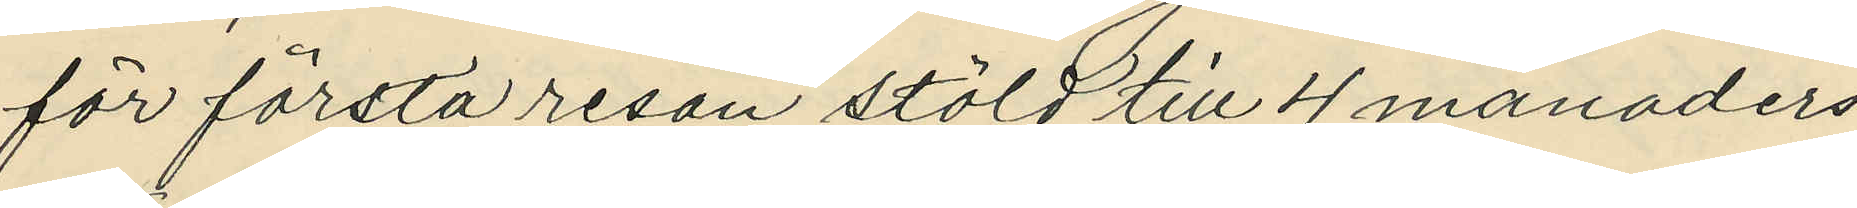för första resan stöld till 4 månaders
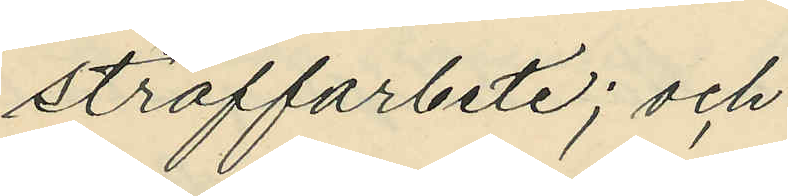straffarbete; och
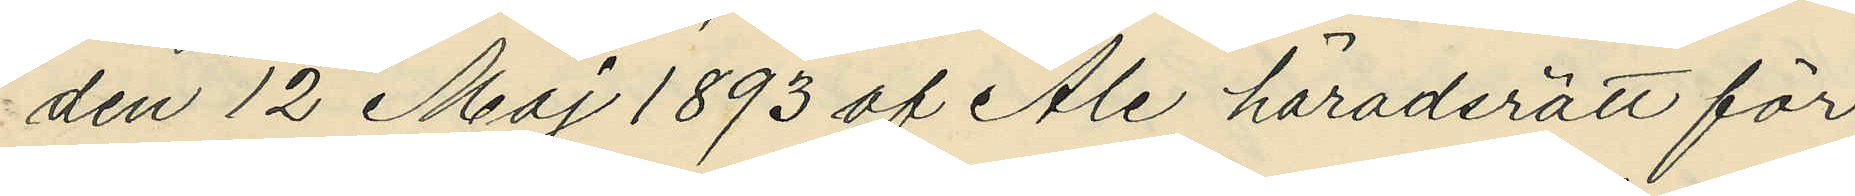den 12 Maj 1893 af Ale häradsrätt för
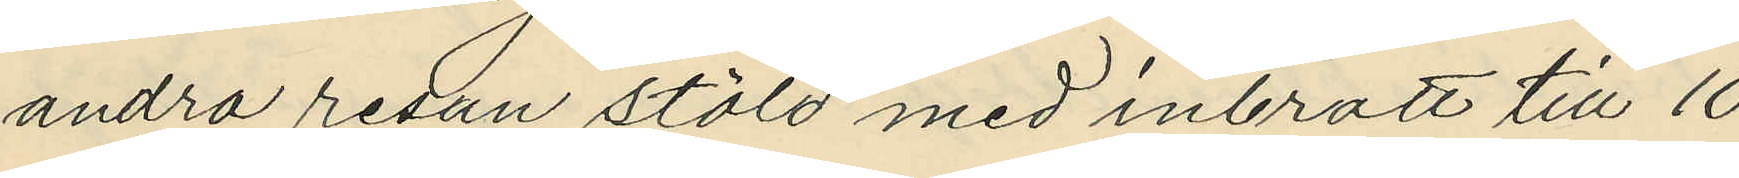andra resan stöld med inbrott till 10
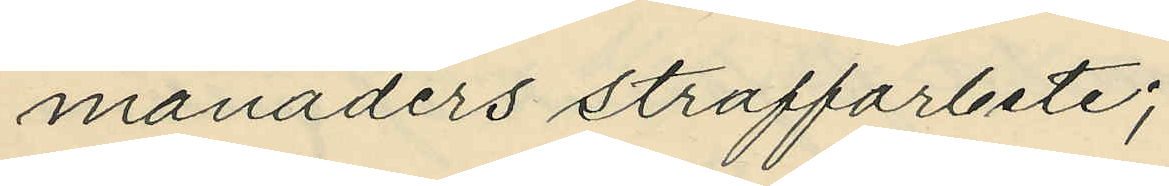månaders straffarbete;
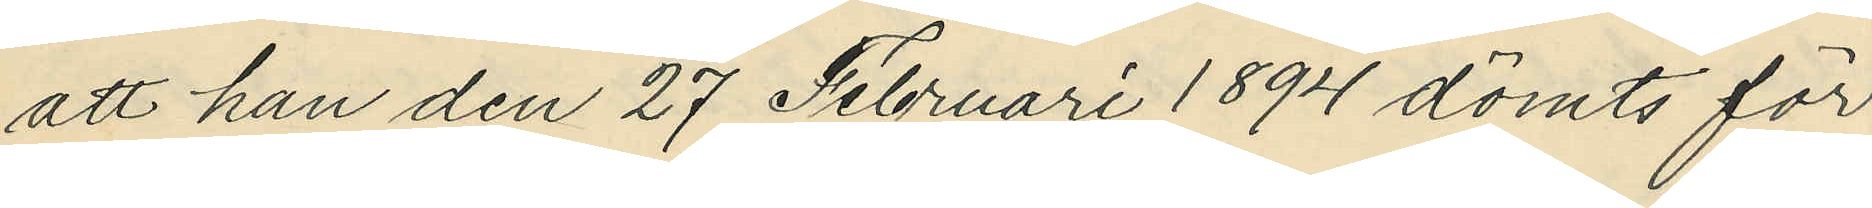att han den 27 Februari 1894 dömts för
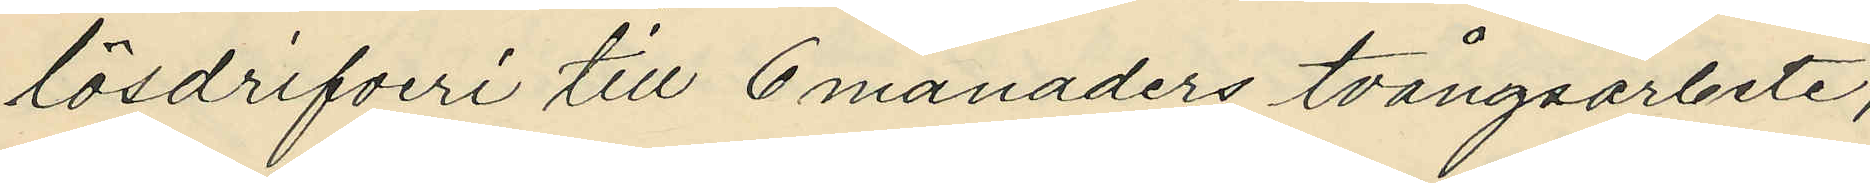lösdrifveri till 6 månaders tvångsarbete;
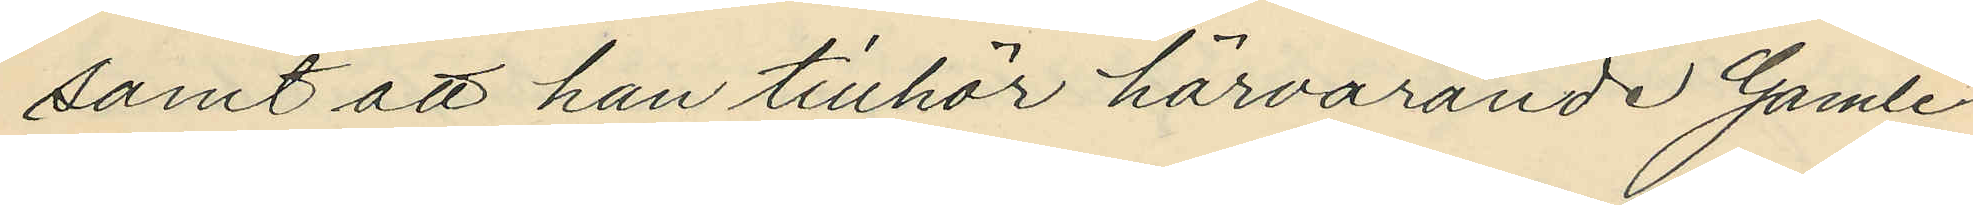samt att han tillhör härvarande Gamle¬
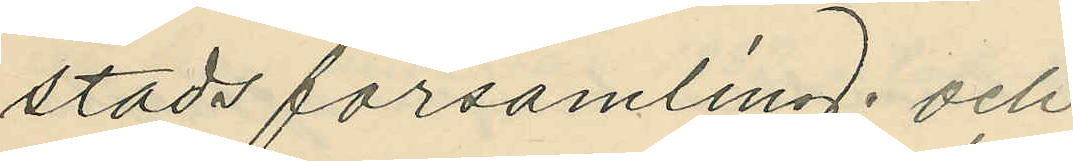stads församling; och
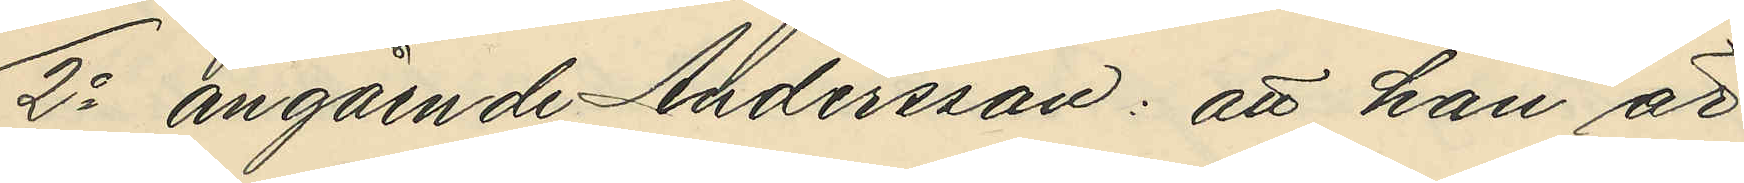2o angående Andersson: att han är
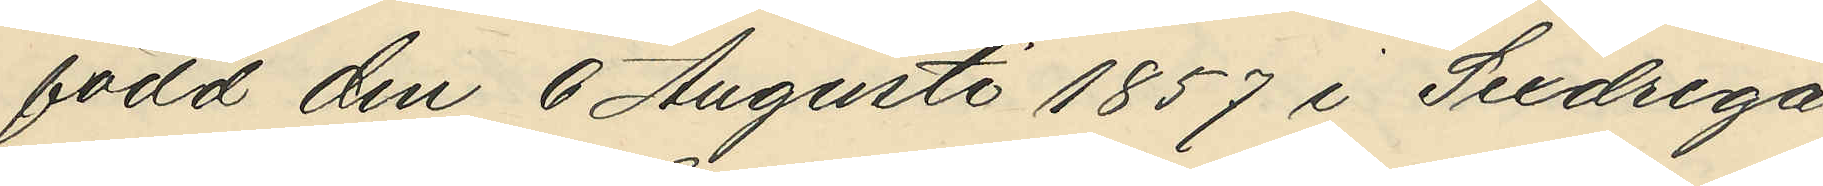född den 6 Augusti 1857 i Sexdrega
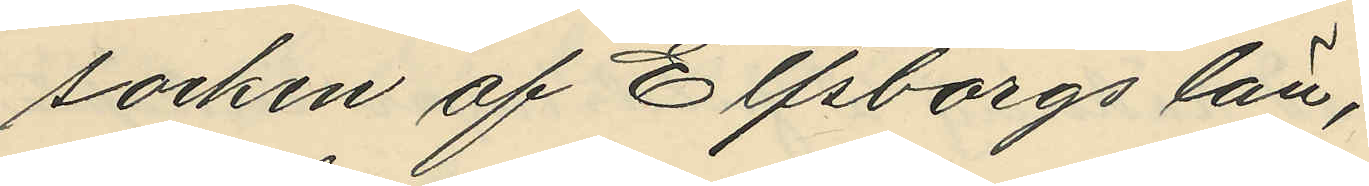socken af Elfsborgs län;
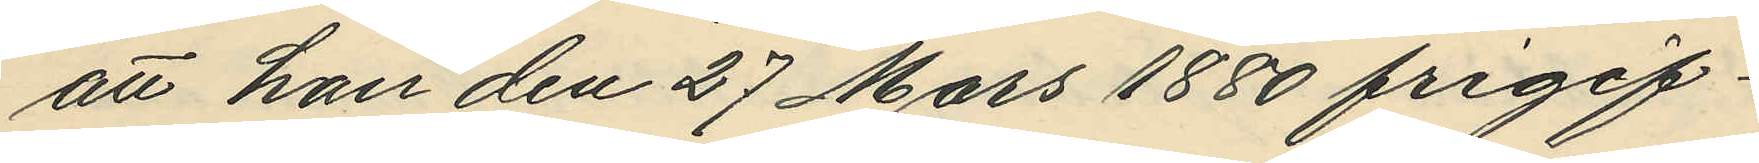att han den 27 Mars 1880 frigif¬
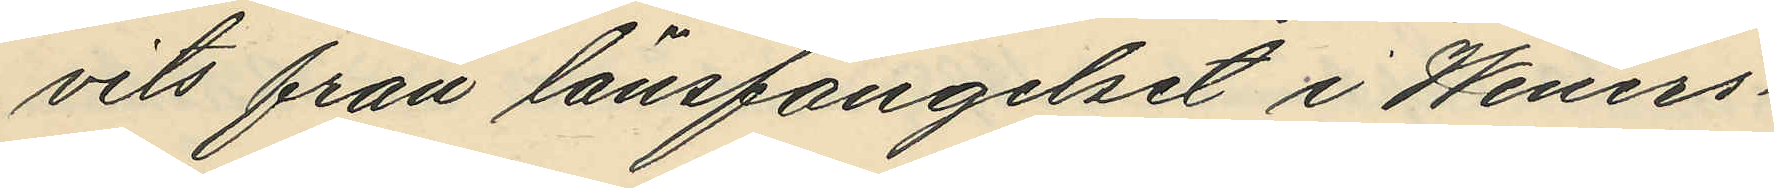vits från länsfängelset i Weners¬
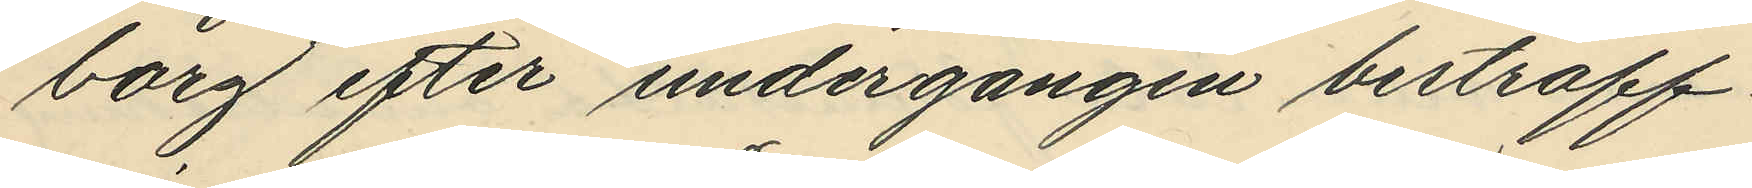borg efter undergången bestraff¬
